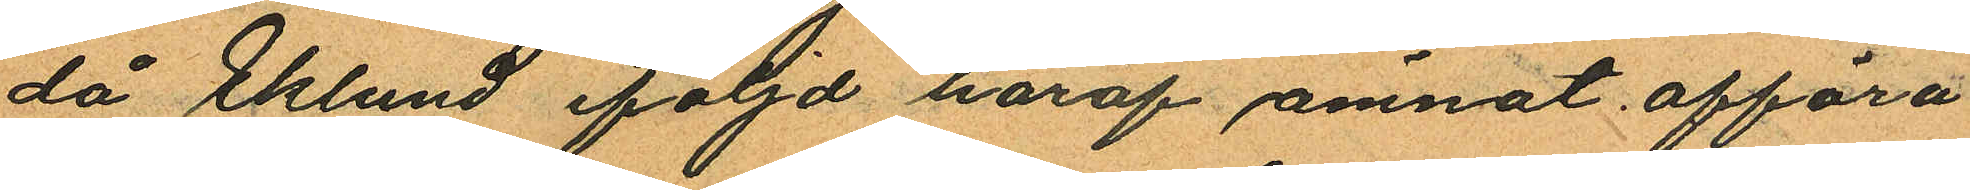då Eklund iföljd häraf ämnat afföra
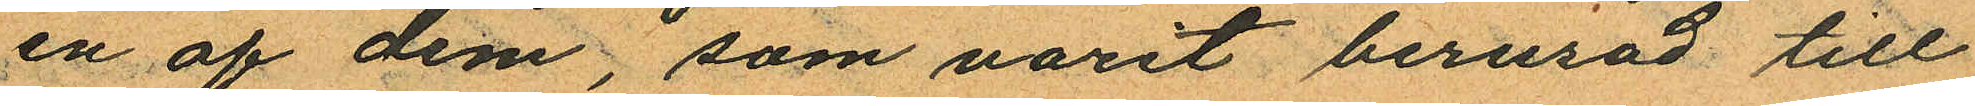en af dem, som varit berusad till
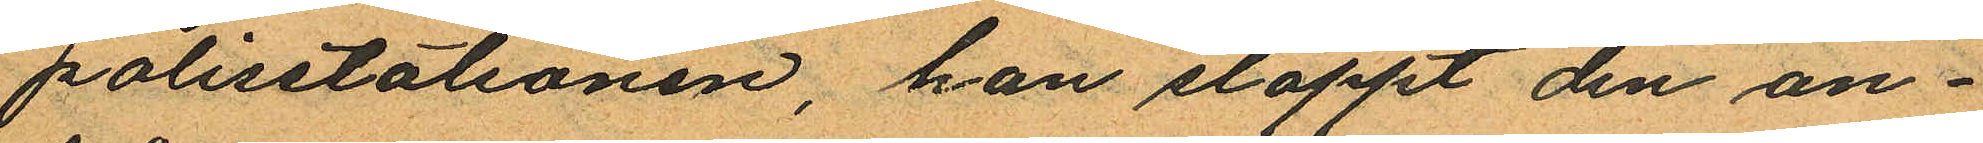polisstationen, han släppt den an¬
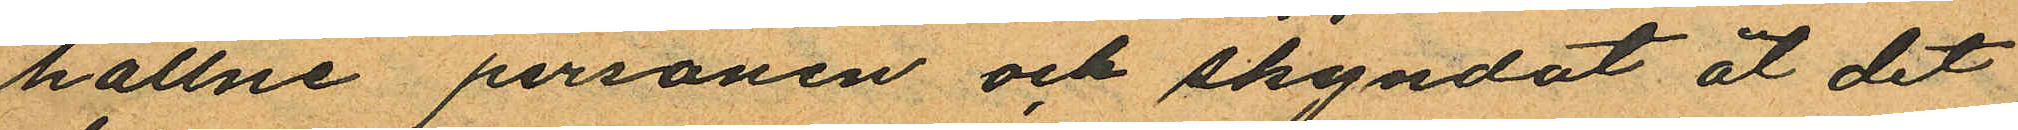hållne personen och skyndat åt det
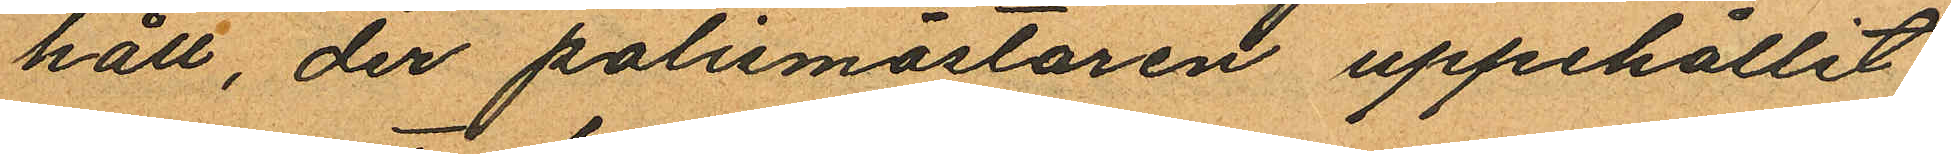håll, der polismästaren uppehållit
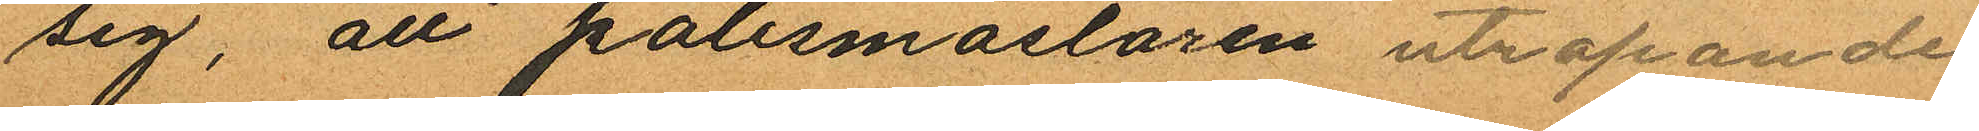sig, att polismästaren utropande
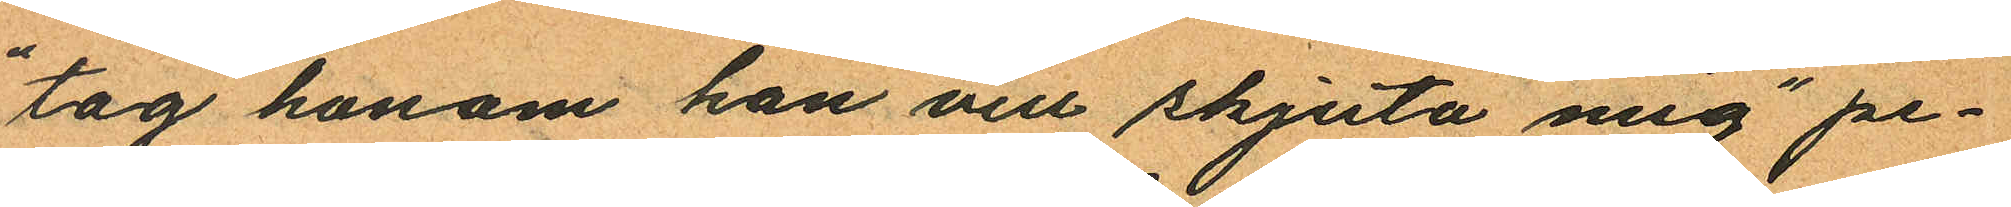"tag honom han vill skjuta mig" pe¬
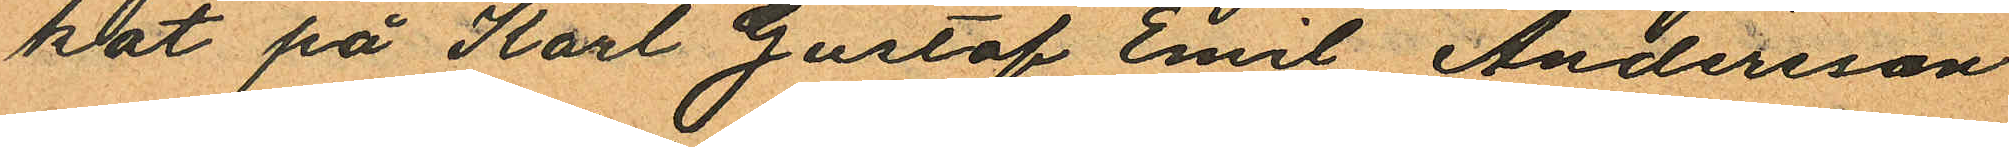kat på Karl Gustaf Emil Andersson
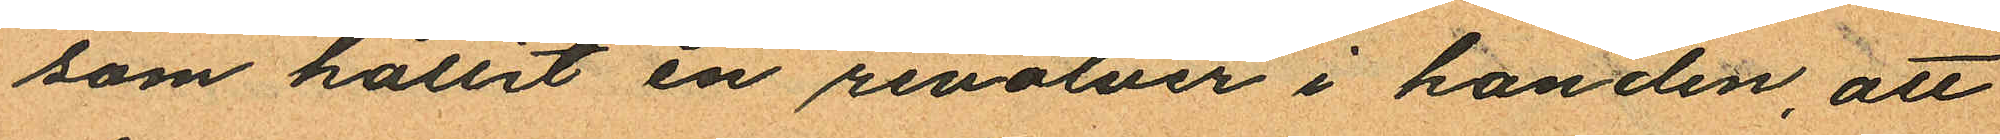som hållit en revolver i handen, att
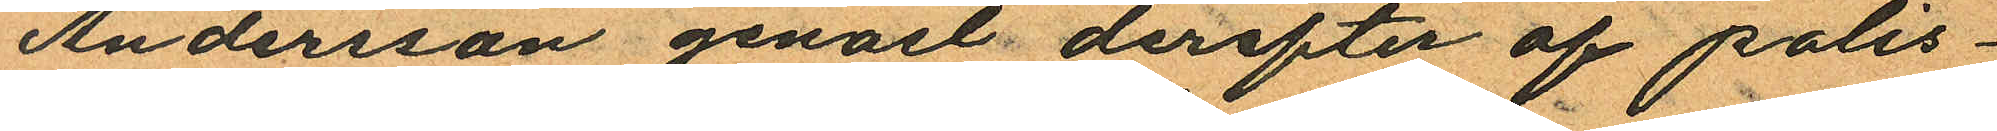Andersson genast derefter af polis¬
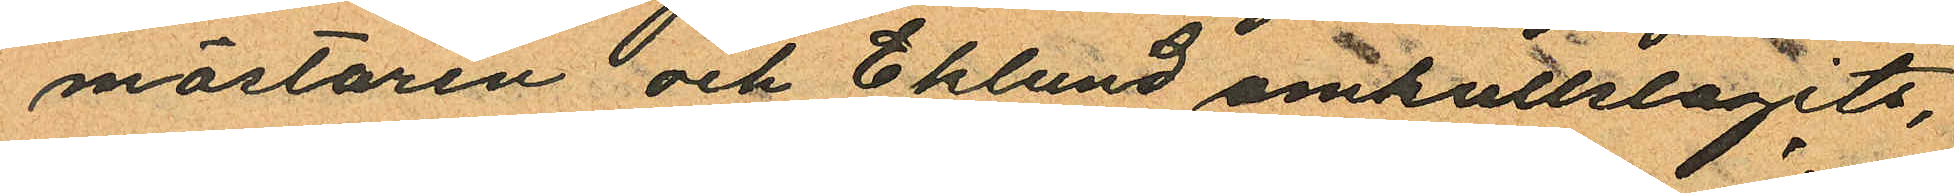mästaren och Eklund omkullslagits,
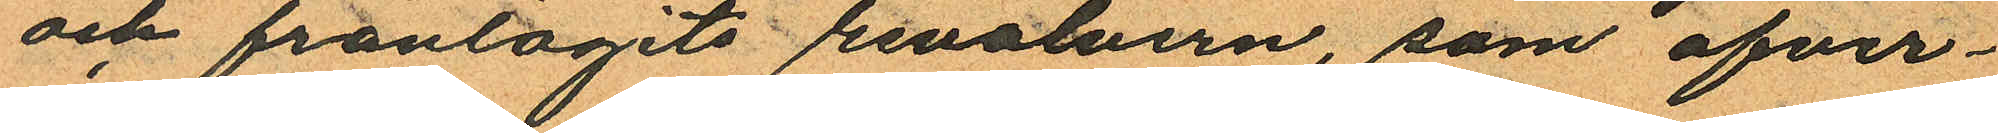och fråntagits revolvern som öfver¬
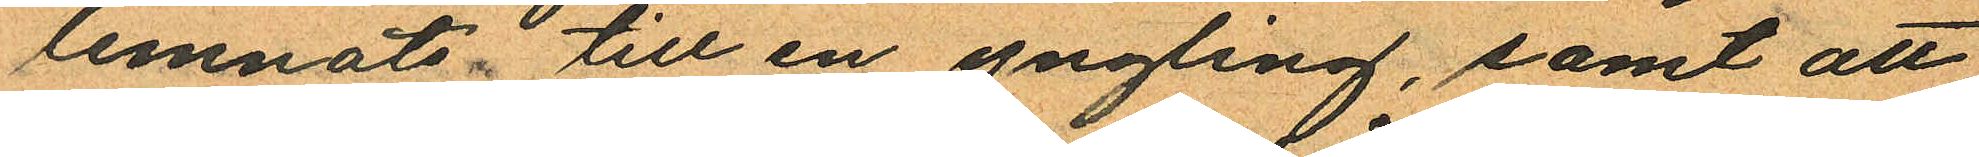lemnats till en yngling, samt att
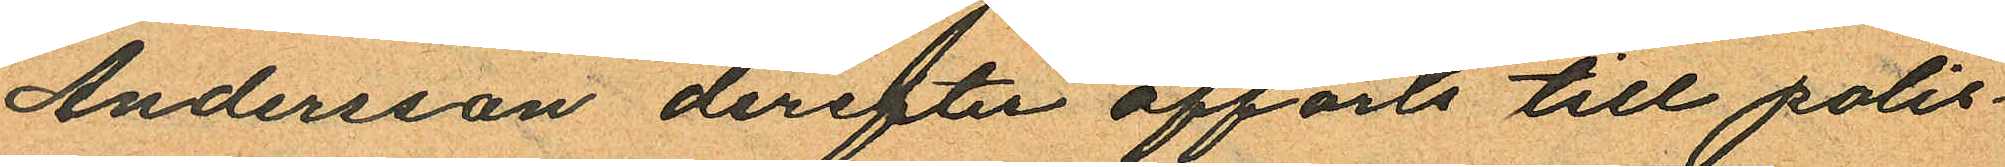Andersson derefter afförts till polis¬
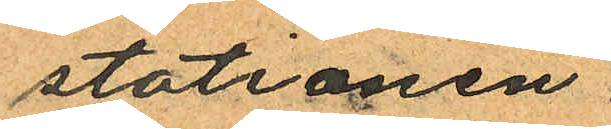stationen.
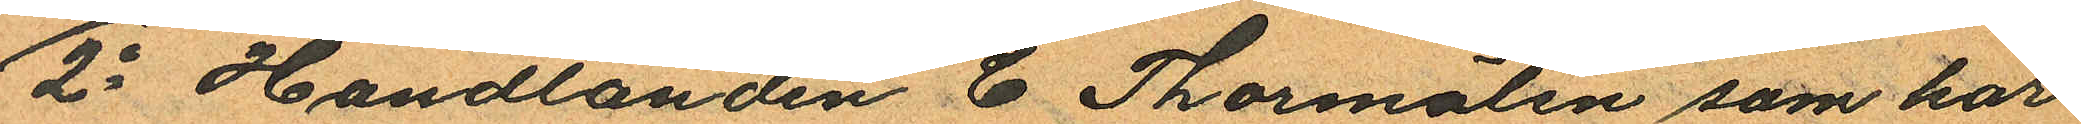2o Handlanden C Thormälen som har
